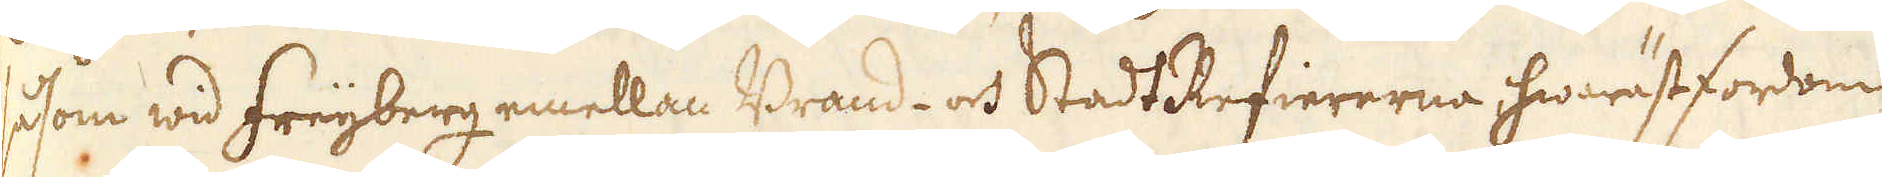såsom wid Freijberg emellan Brand- och Stadt Refiererna, hwaräst fordom
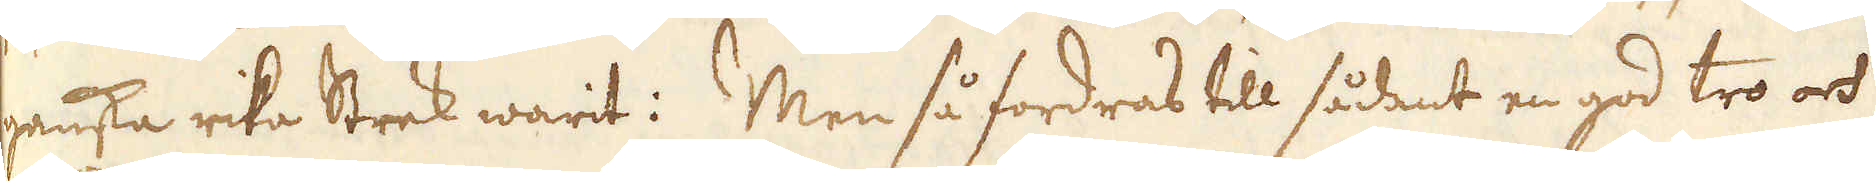ganska rika Strek warit: Men så fordras till sådant en god tro och
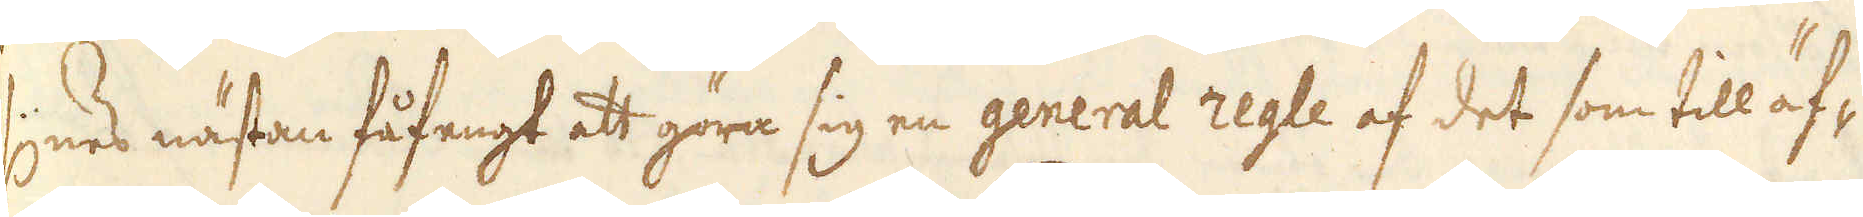synes nästan fåfengt att göra sig en general regle af det som till äf-
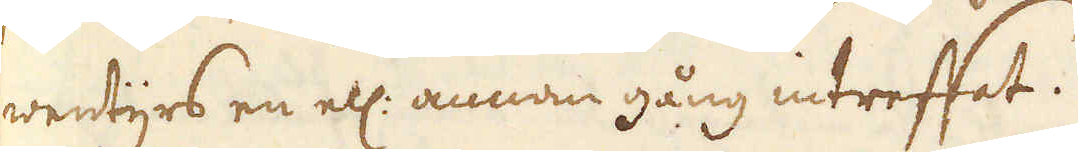wentyrs en ell: annan gång intreffat.
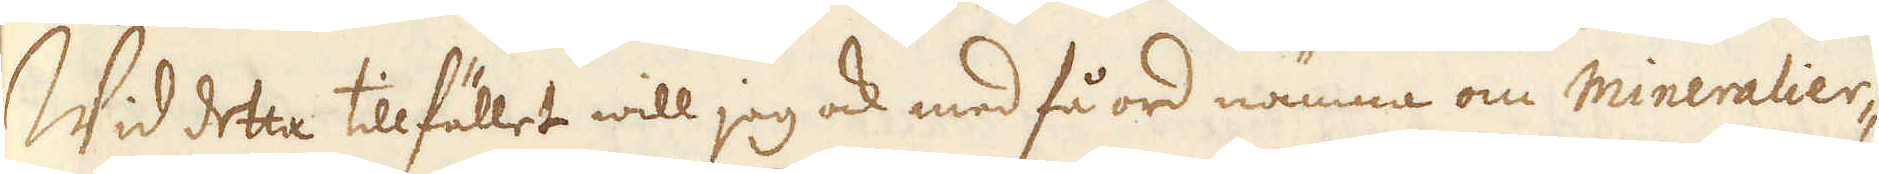Wid detta tillfället will jag ock med få ord nämna om mineralier-
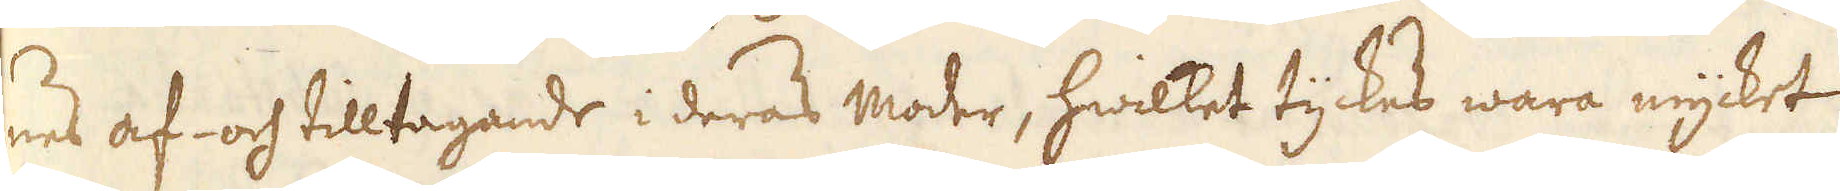nes af- och tilltagande i deras moder, hwilket tyckes wara mycket
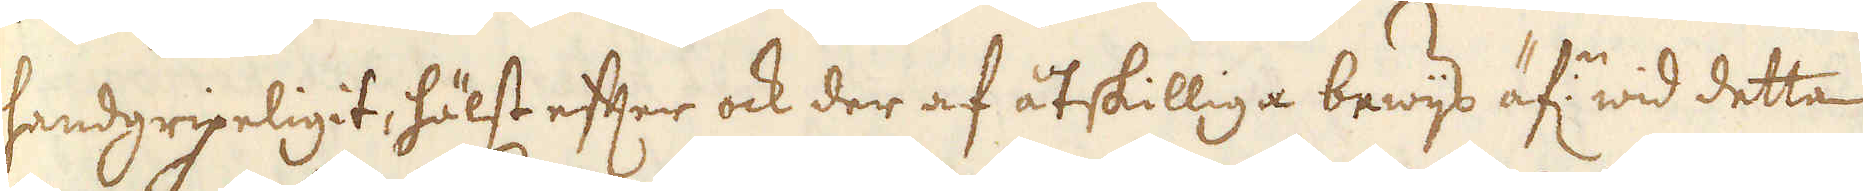handgripeligit, hälst efter ock der af åtskilliga bewijs äf:n wid detta
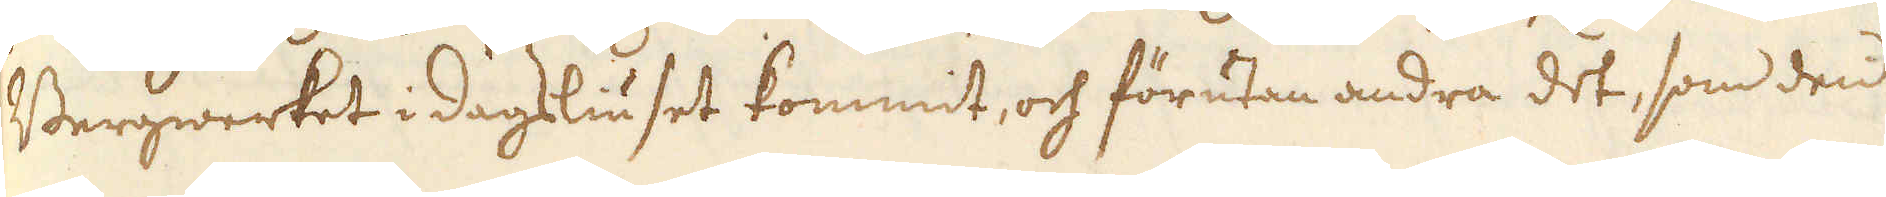Bergwerket i dagsliuset kommit, och förutan andra det, som den
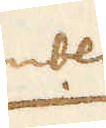gambla
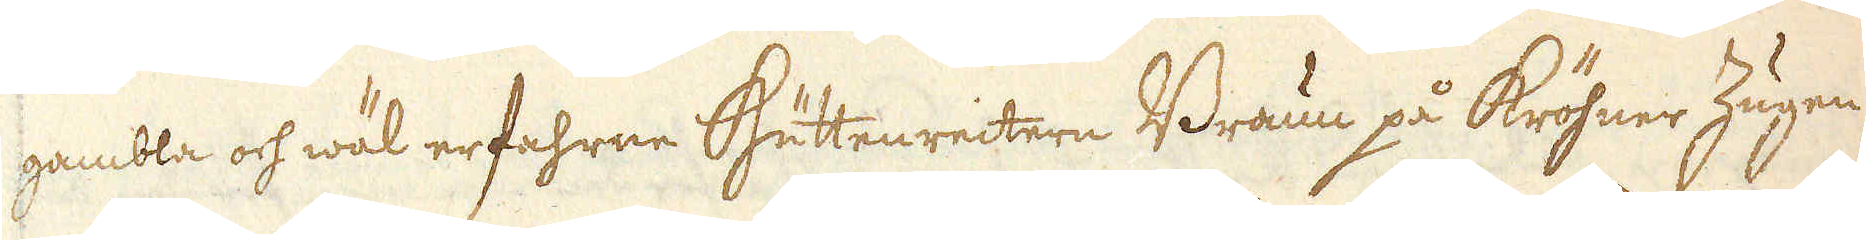gambla och wäl erfahrne Hüttenreitern Braun på Kröhner Zugen
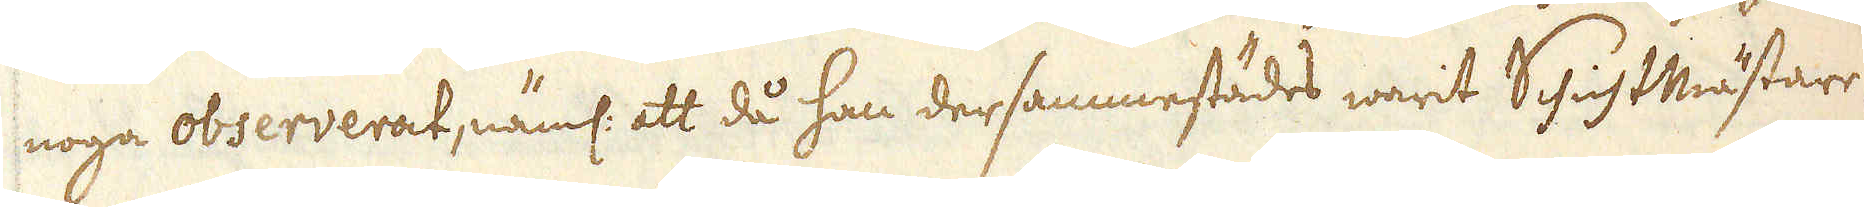noga observerat, näml: att då han dersammestädes warit SchichtMästare
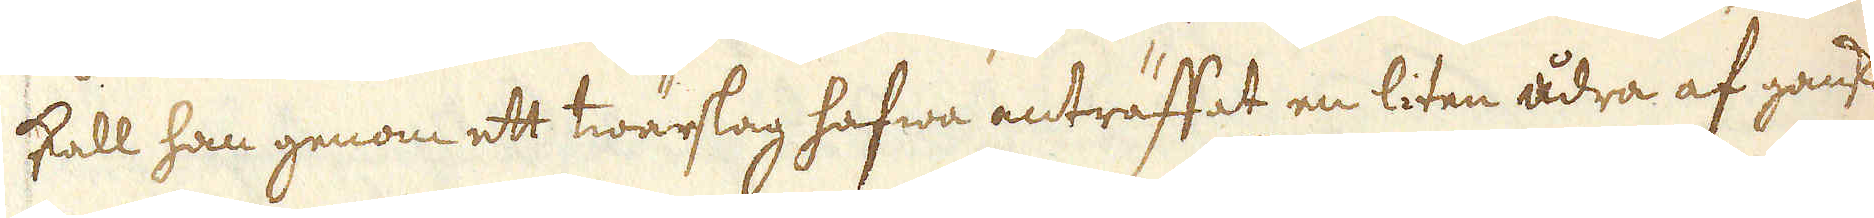skall han genom ett twärslag hafwa anträffat en liten ådra af ganska
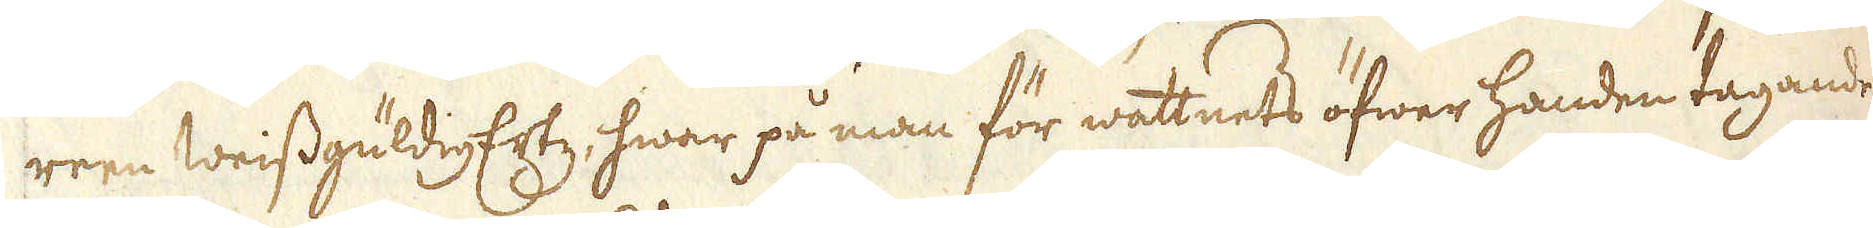reen Weissgüldig Ertz, hwar på man för wattnets öfwer handen tagande
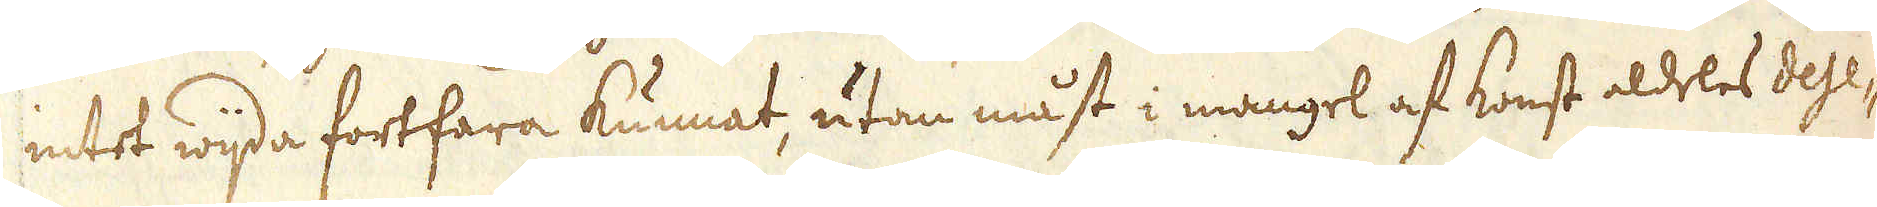intet wijda fortfara kunnat, utan måst i mangel af konst aldeles dese-
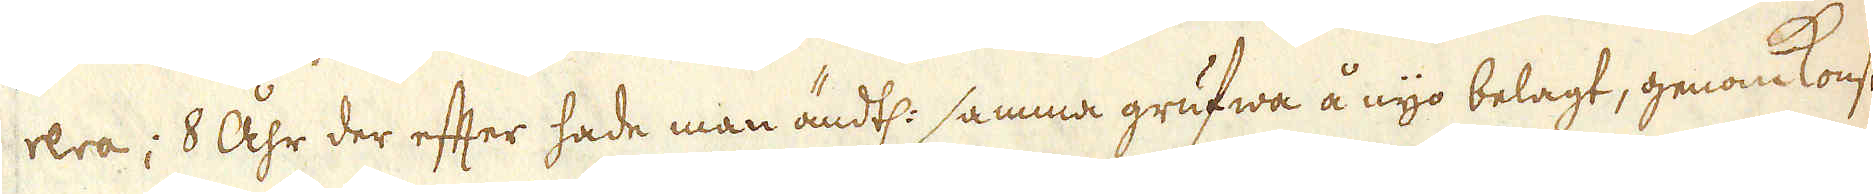rera; 8 Åhr der efter hade man ändtl: samma grufwa å nyo belagt, genom Konst-
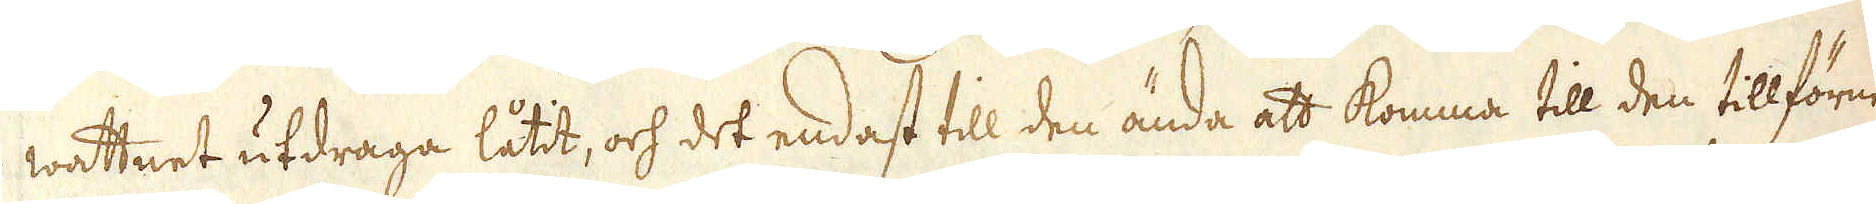wattnet utdraga låtit, och det endast till den ända att komma till den tillförne
